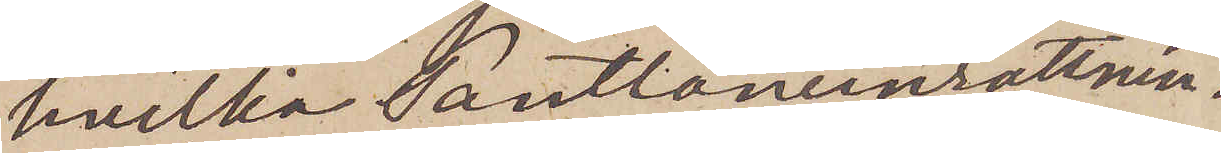hvilka Pantlåneinrättnin¬
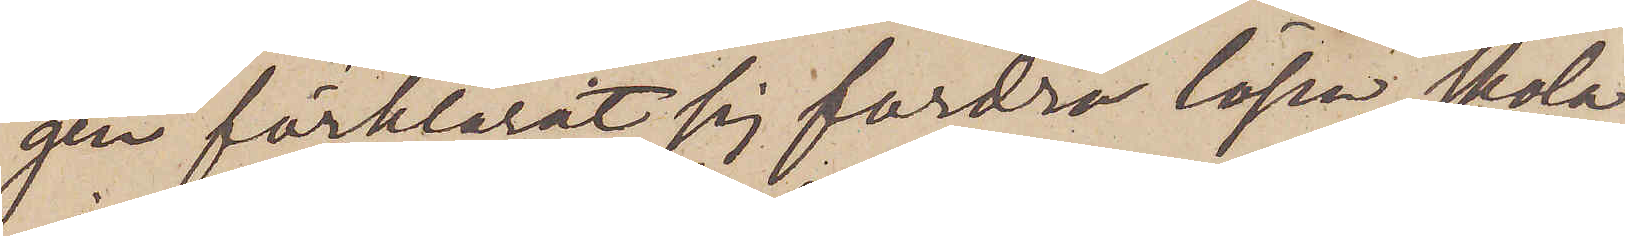gen förklarat sig fordra lösen, skola
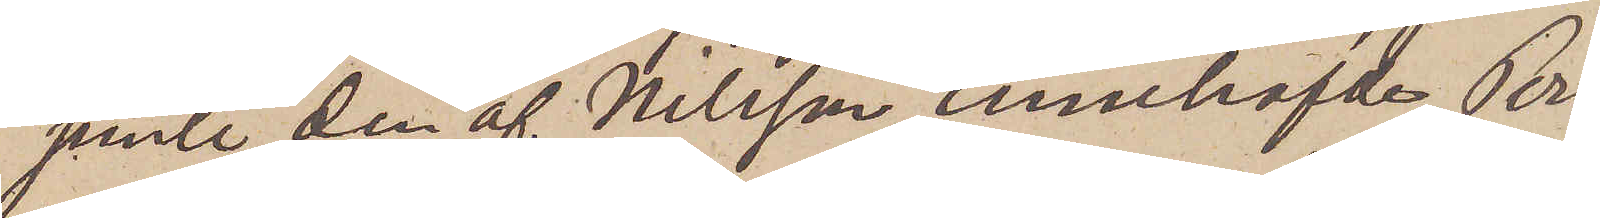jemte den af Nilsson innehafvde, Pers¬
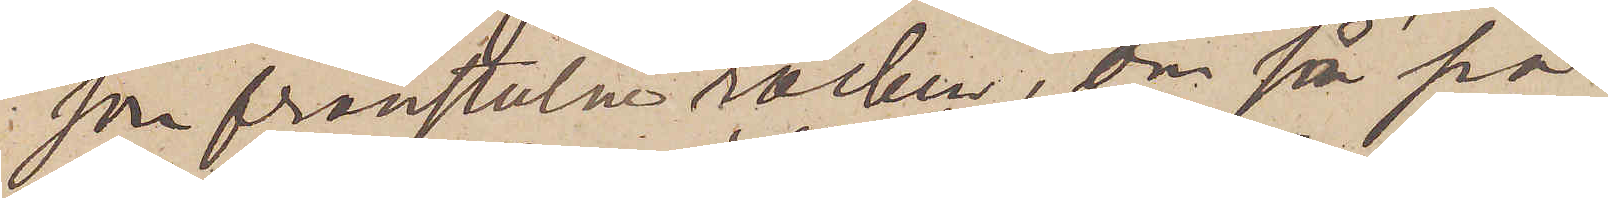son frånstulne rocken, om så på¬
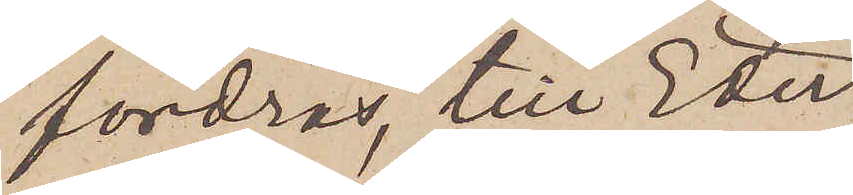fordras, till Eder
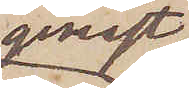genast
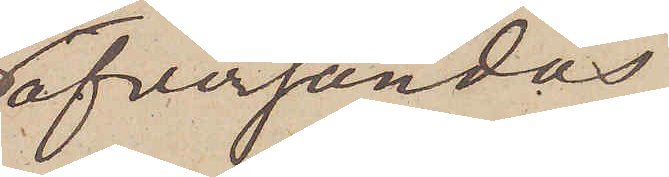öfversändas,
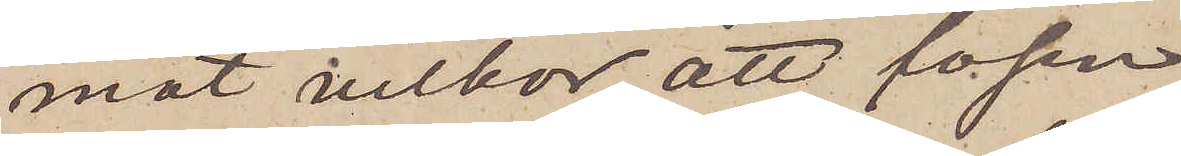mot vilkor att lösen
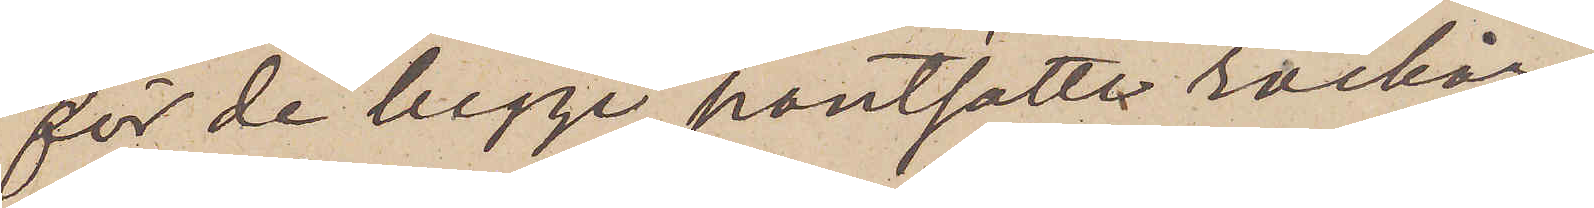för de begge pantsatte rockar¬
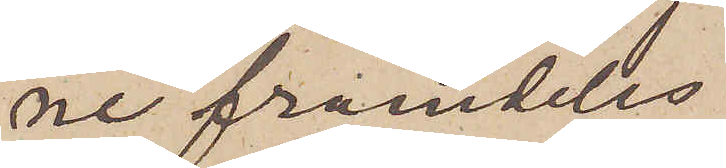ne framdeles
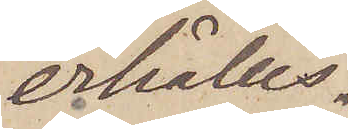erhålles.
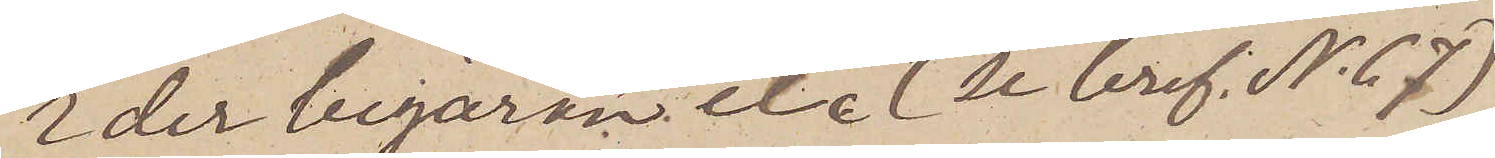Eder begäran etc. (Se bref No 67)
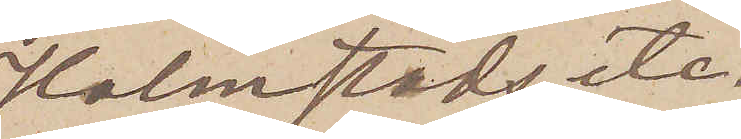Halmstad etc.
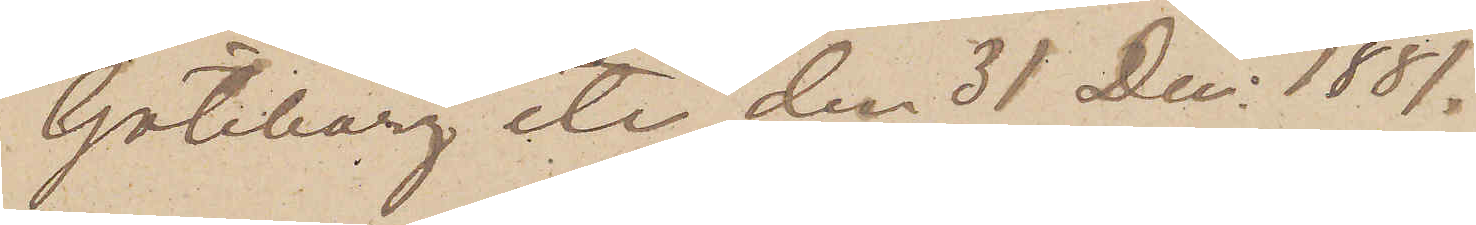Göteborg etc den 31 Dec. 1881.
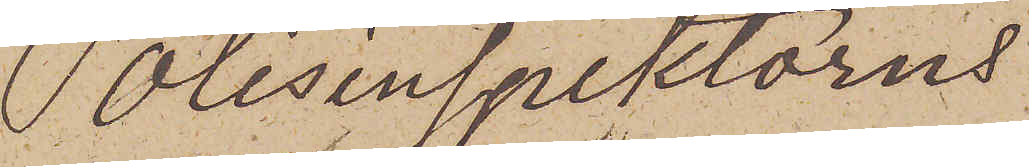Polisinspektorns
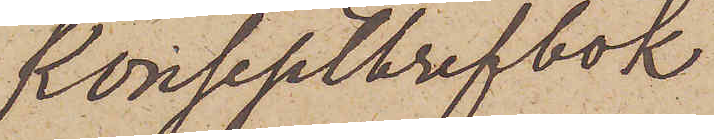konseptbrefbok
